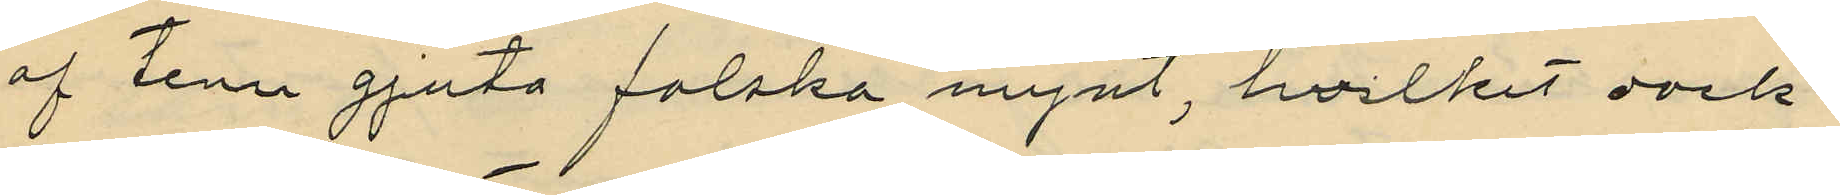af tenn gjuta falska mynt, hvilket dock
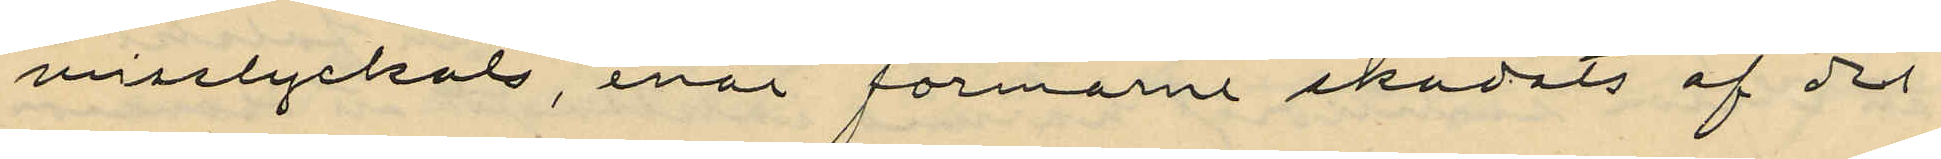misslyckats, enär formarne skadats af det
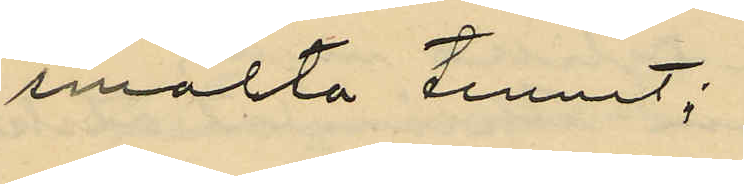smälta tennet;
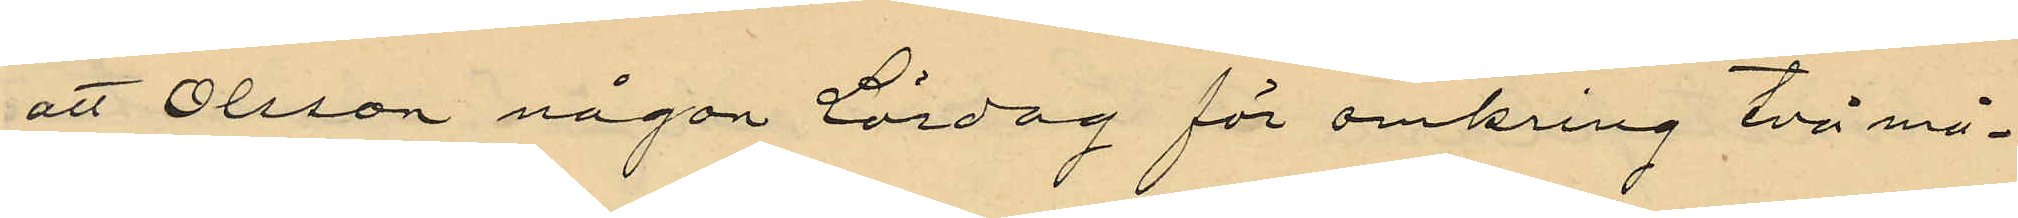att Olsson någon lördag för omkring två må¬
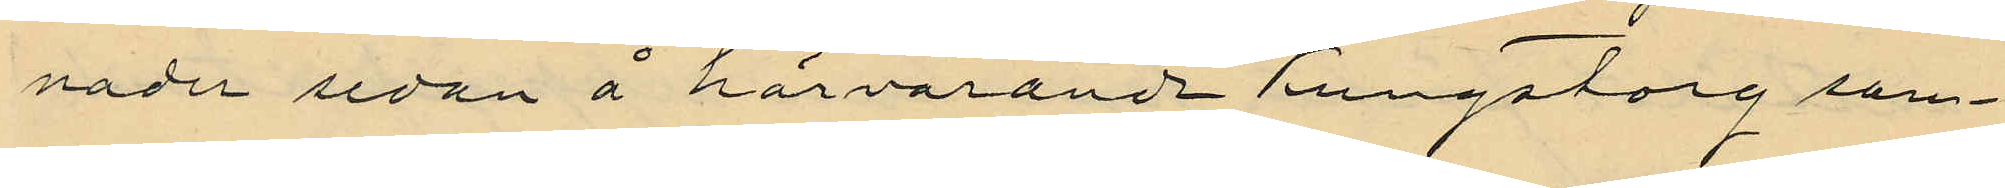nader sedan å härvarande Kungstorg sam¬
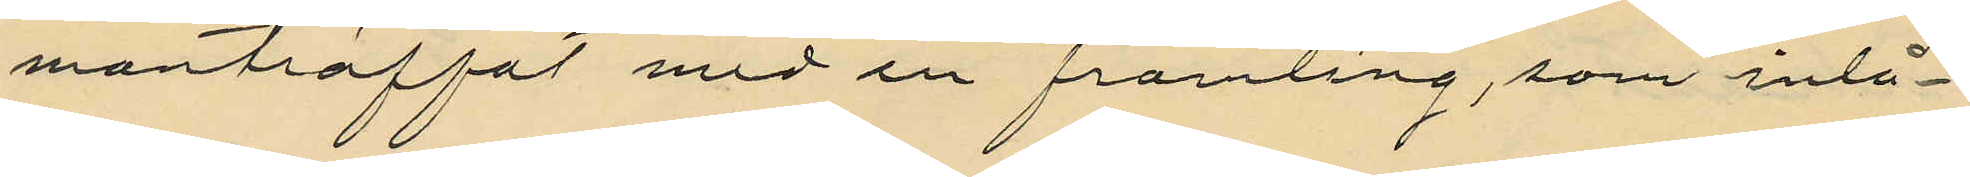manträffat med en framling, som inlå¬
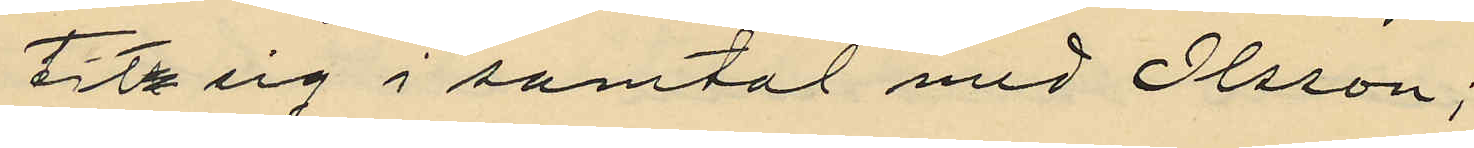tit sig i samtal med Olsson;
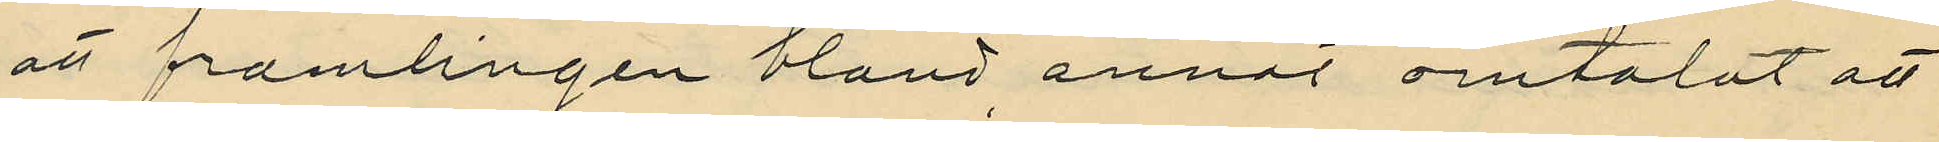att framlingen bland annat omtalat att
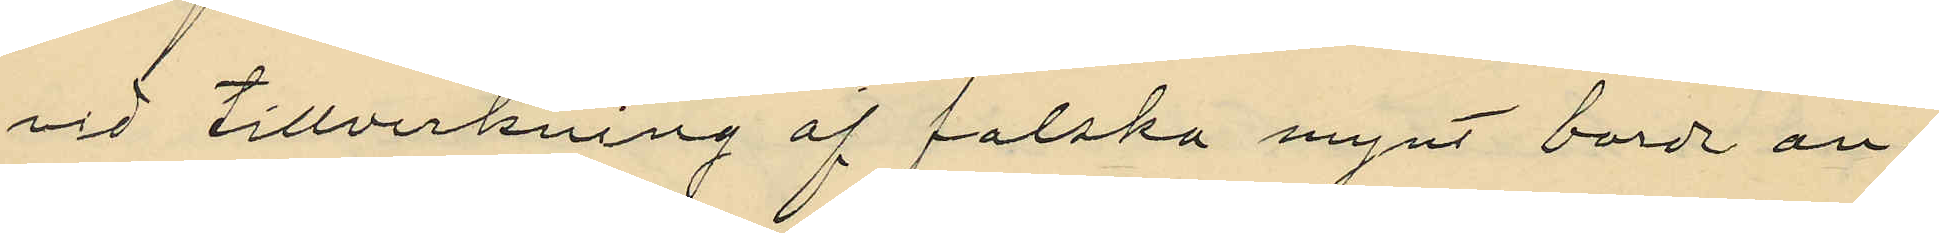vid tillverkning af falska mynt borde an¬
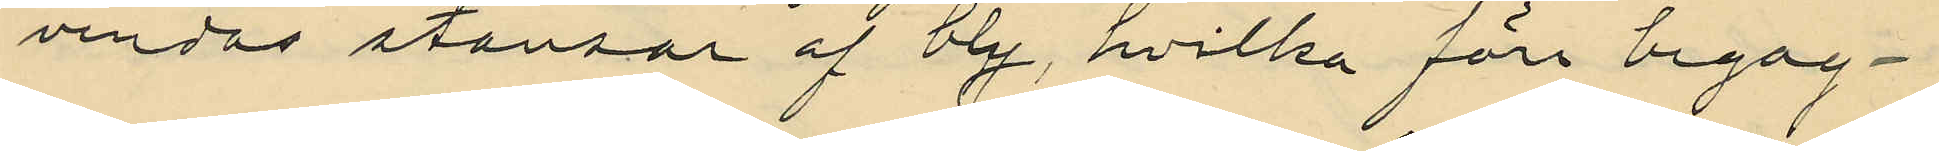vendas stansar af bly, hvilka före begag¬
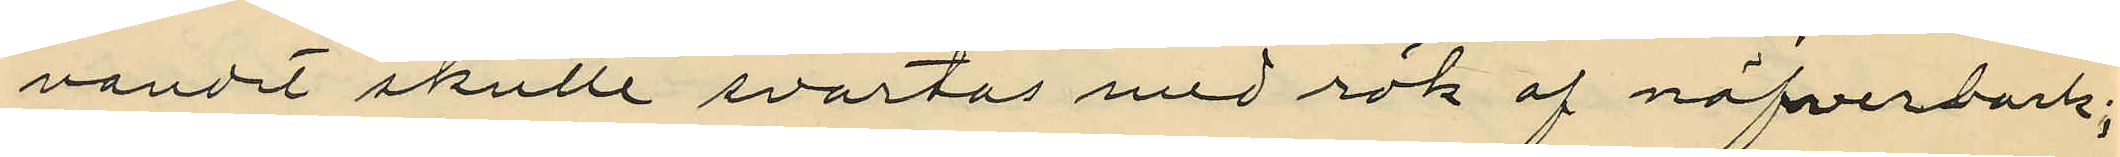nandet skulle svartas med rök af näfverbark;
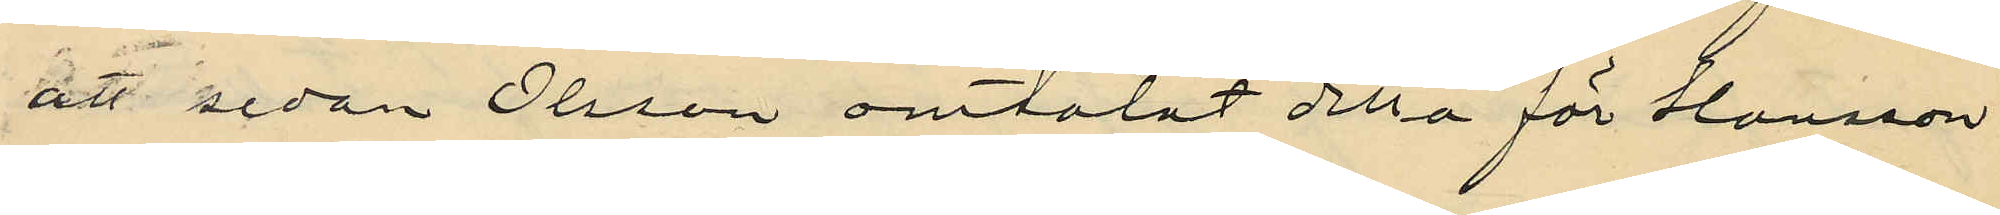att sedan Olsson omtalat detta för Hansson
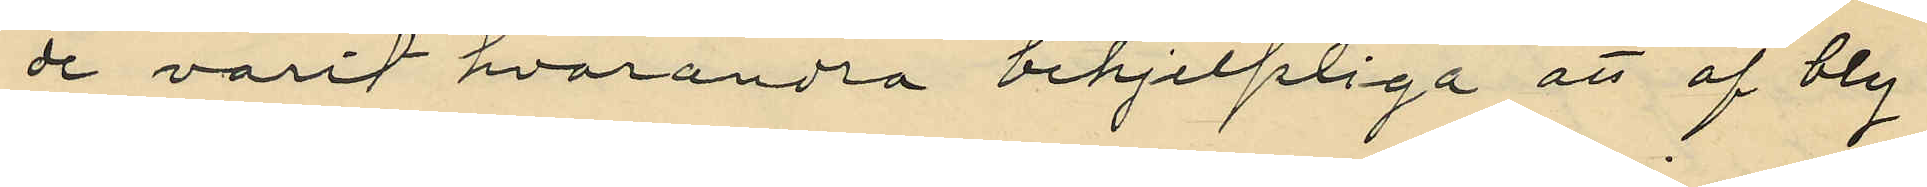de varit hvarandra behjelpliga att af bly
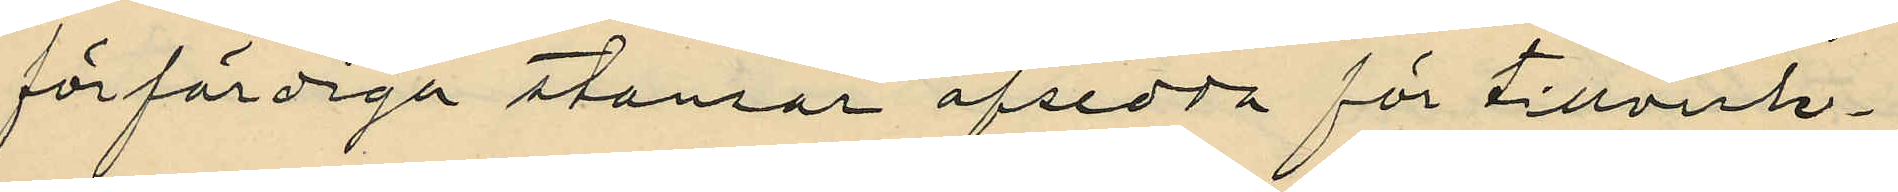förfärdiga stansar afsedda för tillverk¬
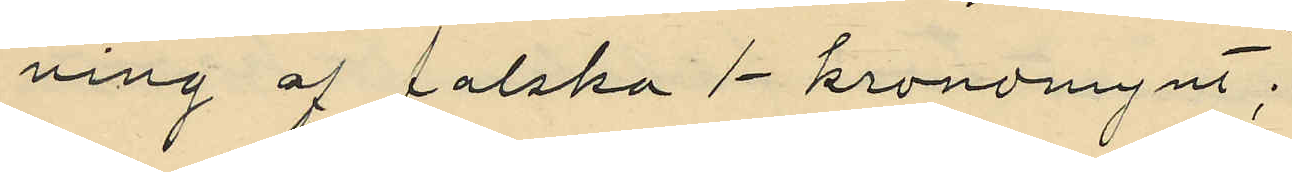ning af falska 1-kronomynt;
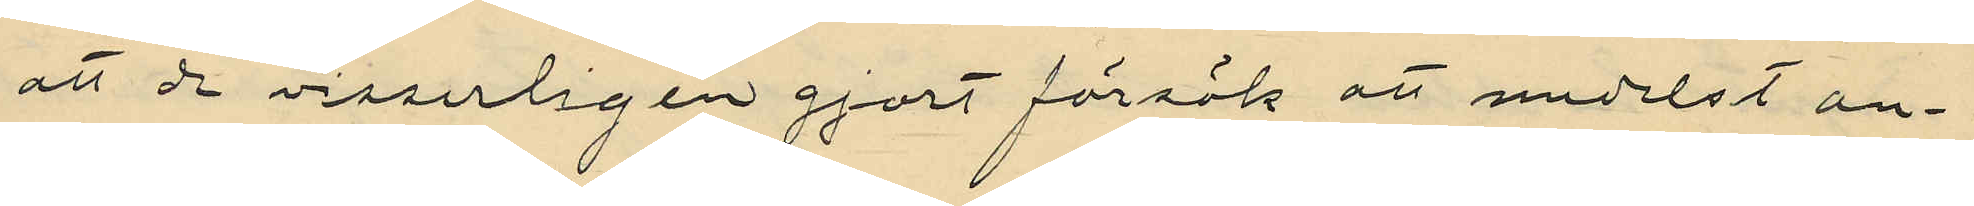att de visserligen gjort försök att medelst an¬
